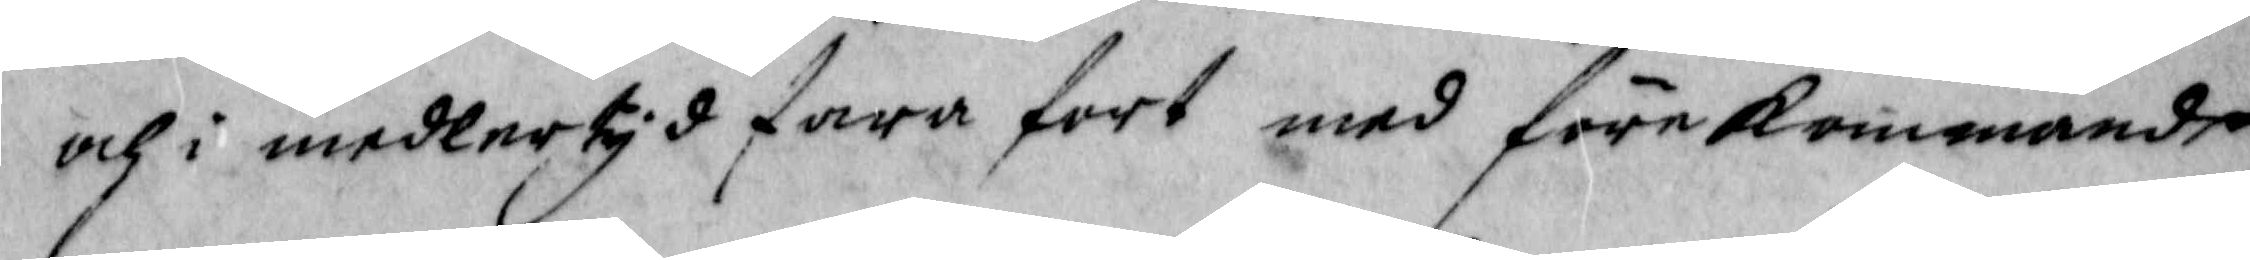och i medlertyd fara fort med förekommande
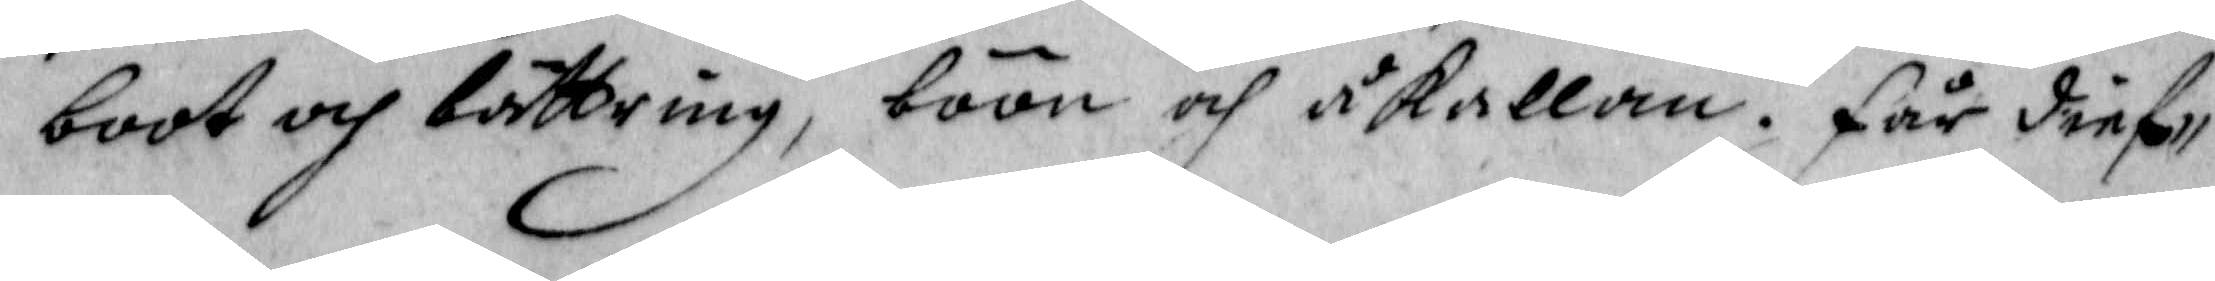boot och bättring, böön och åkallan, Får dief¬
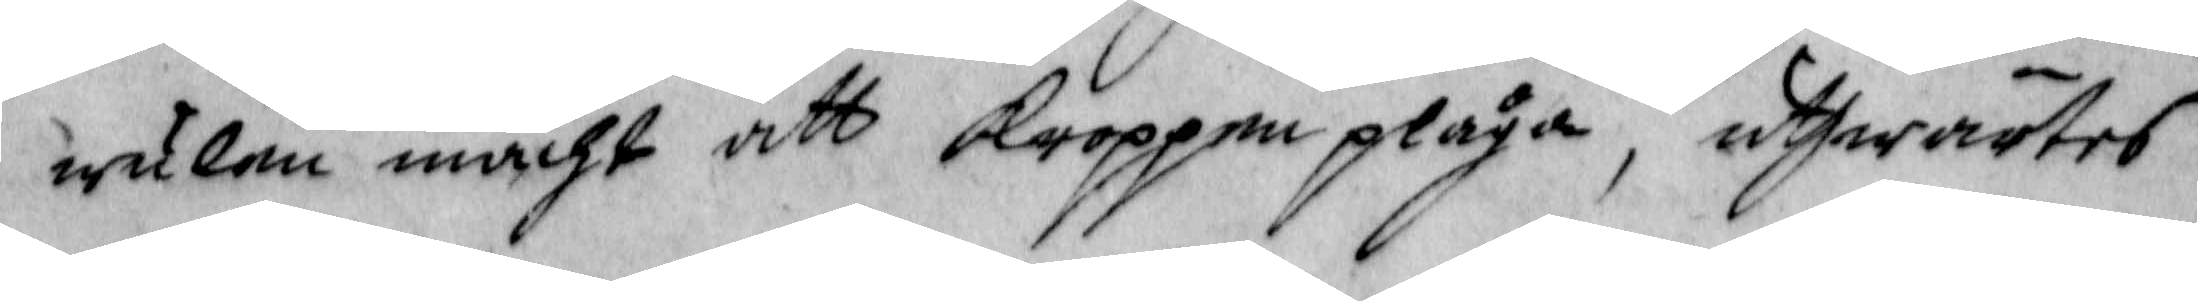wulen macht att kroppen plåga, uthwärtes
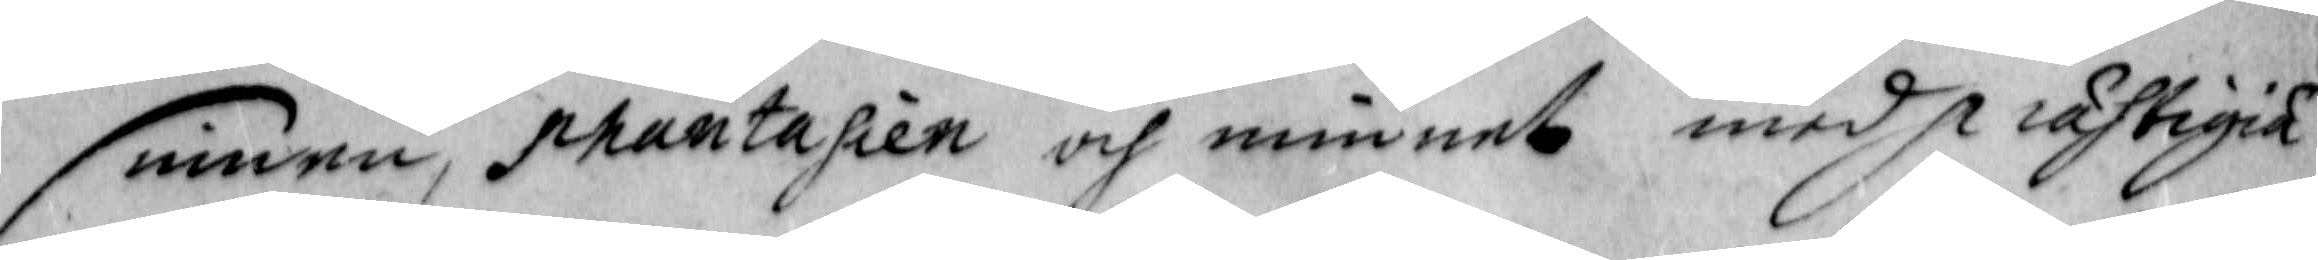sinnen, phantasien och minnet med prastigia
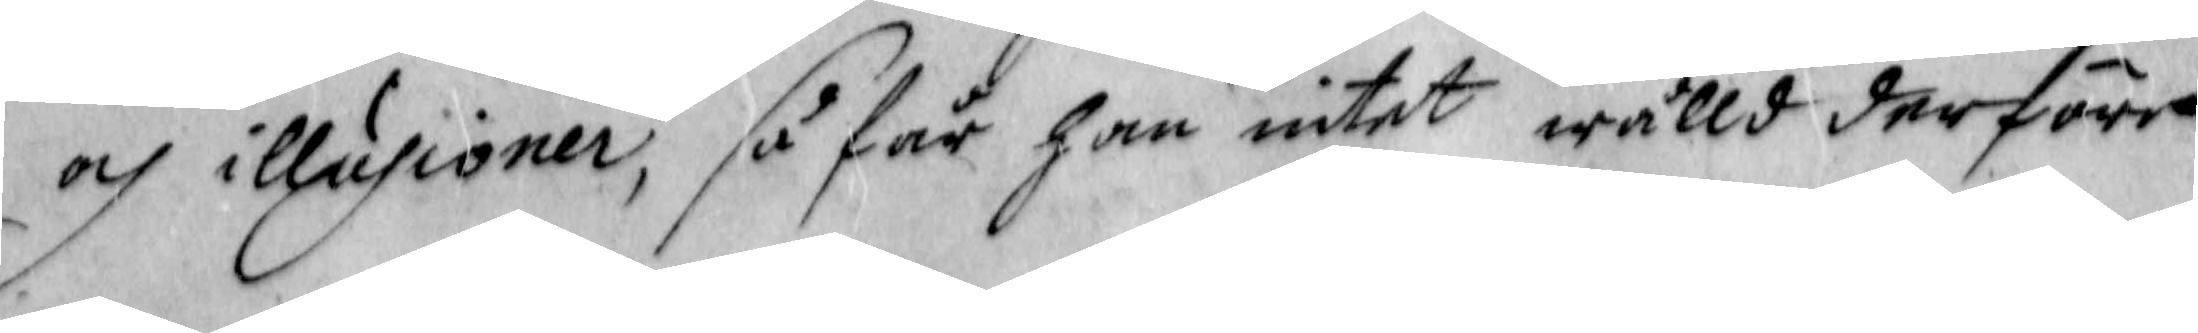och illusioner, så får han intet wälld derföre
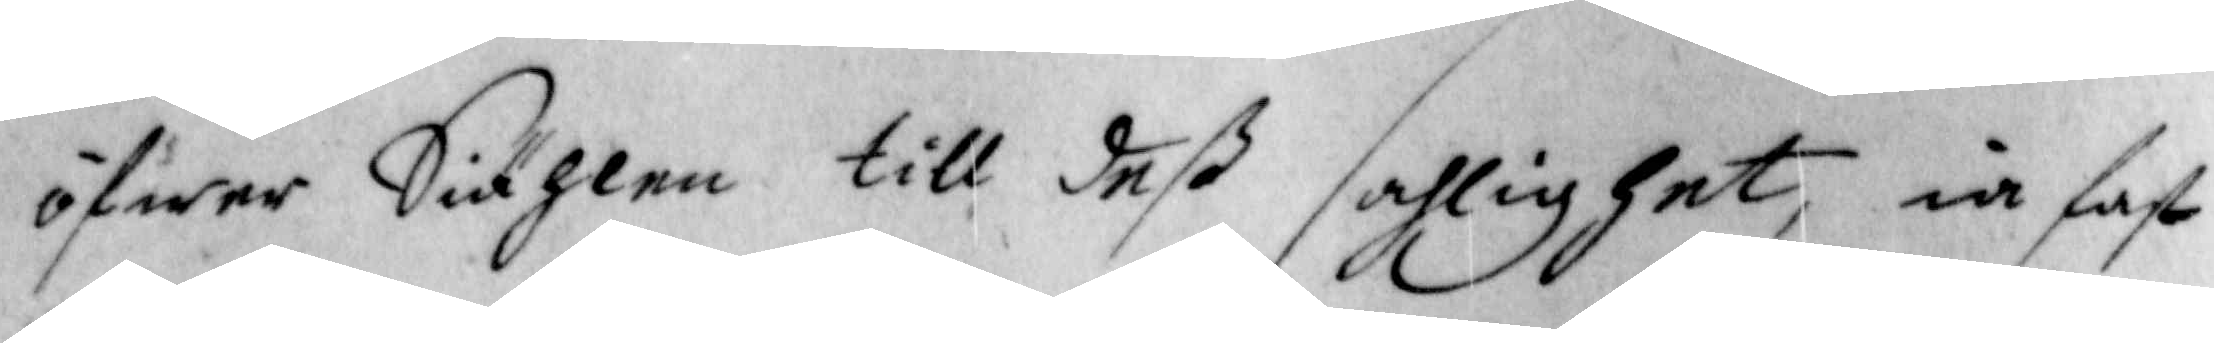öfwer Siählen till deß sahlighet, ia fast
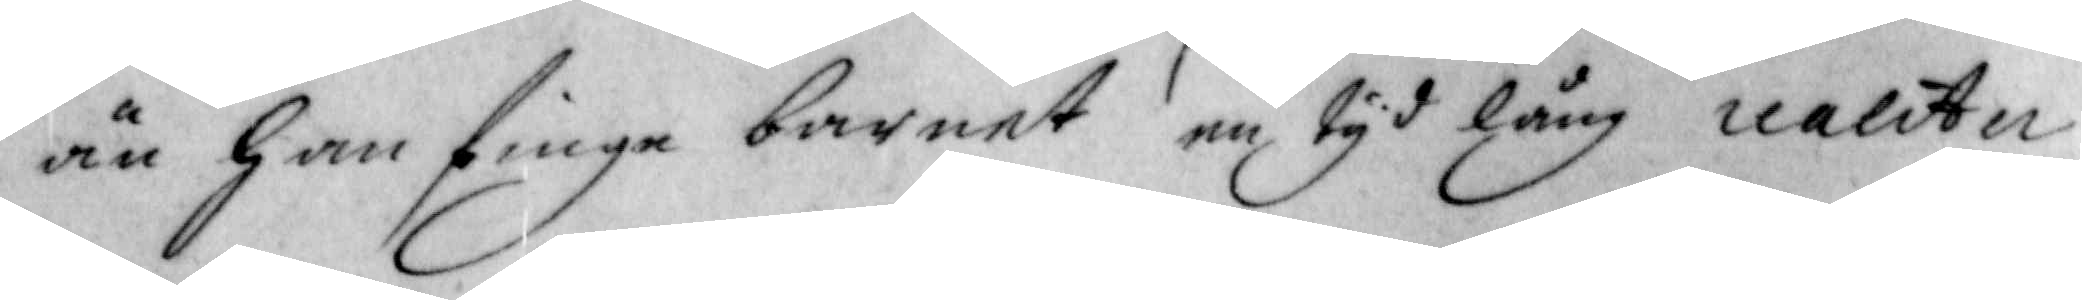än han finge barnet en tyd lång realitu
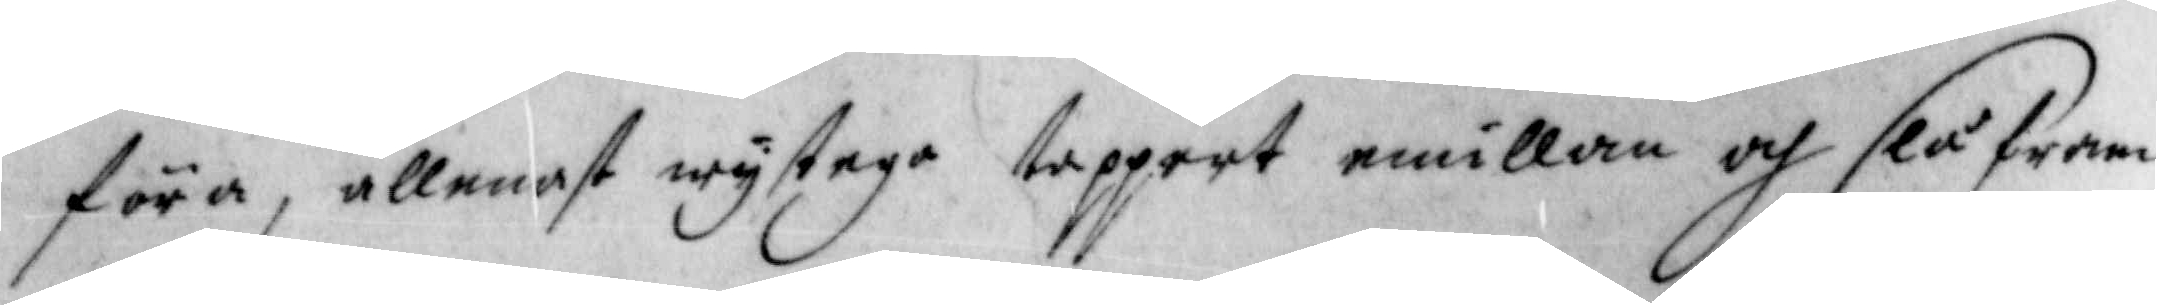föra, allenast wystege tappert emillan och slå fram
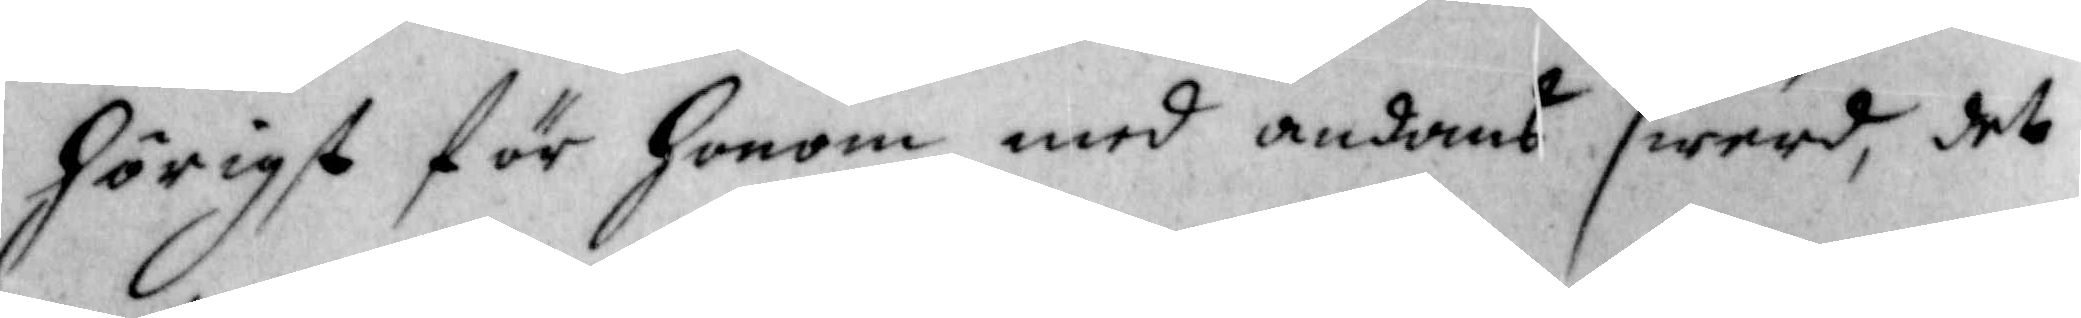hörigst för honom med andans swerd, det
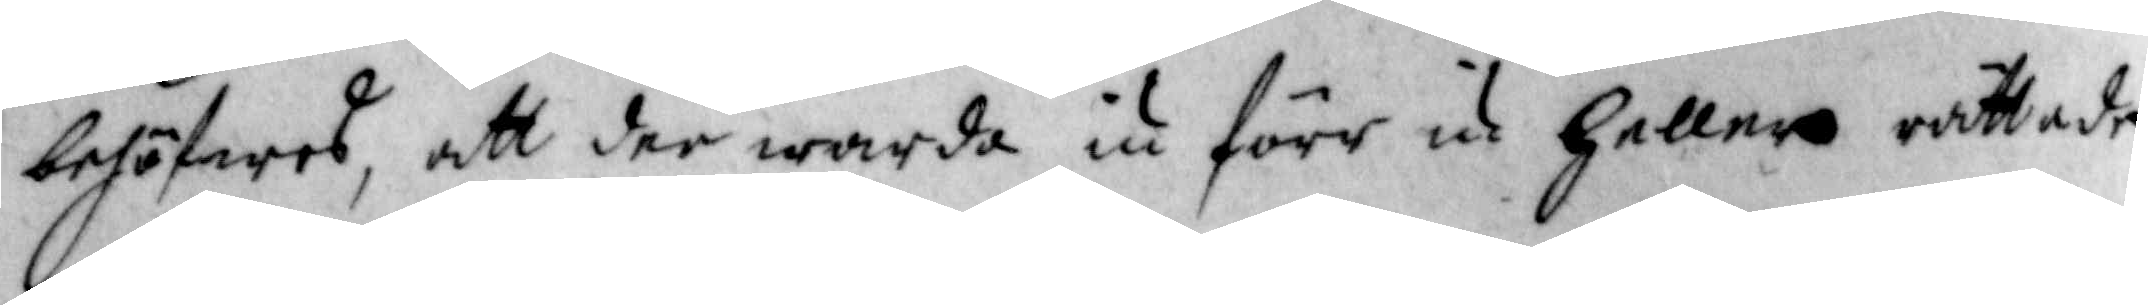behöfwes, att der warda iu förr iu heller rättade
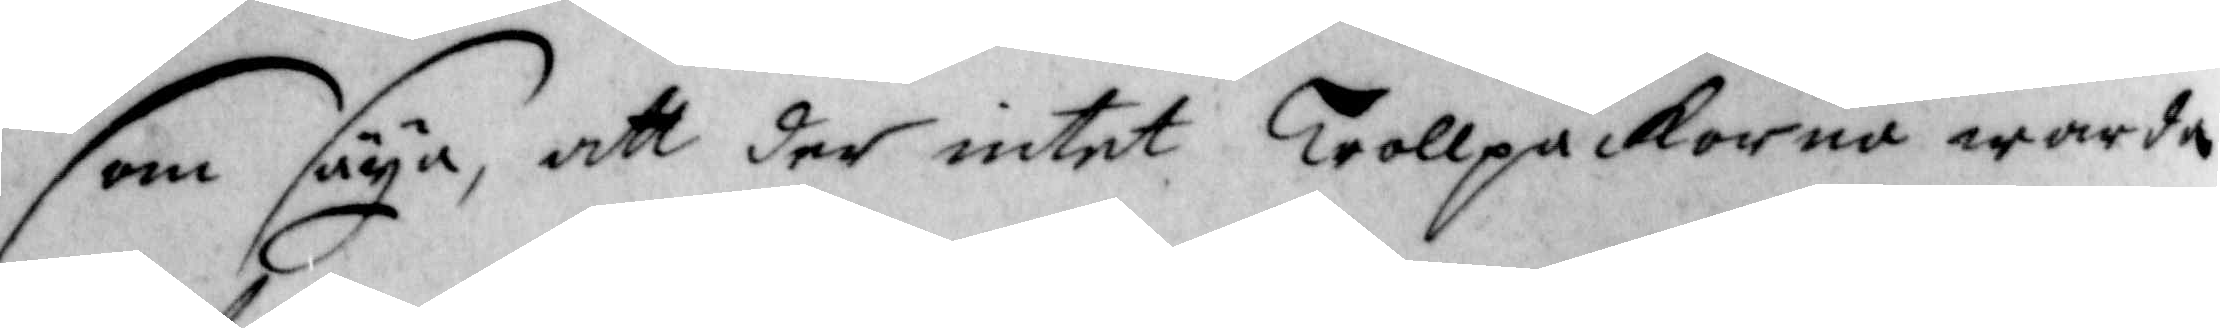som säya, att der intet Trollpackorna worda
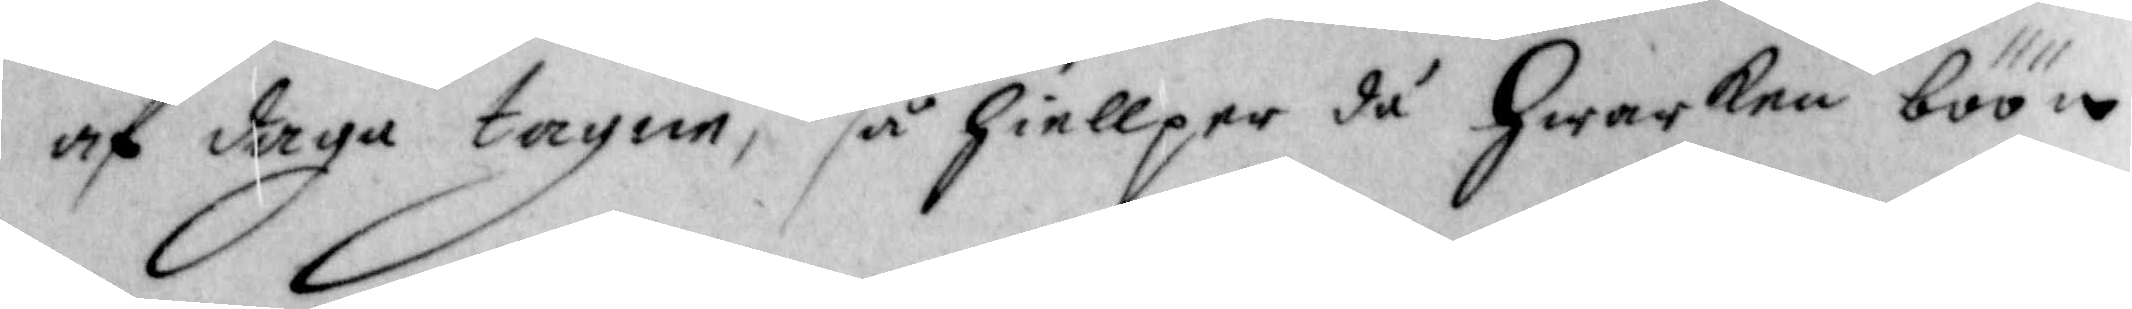af daga tagne, så hielper då hwarken böön
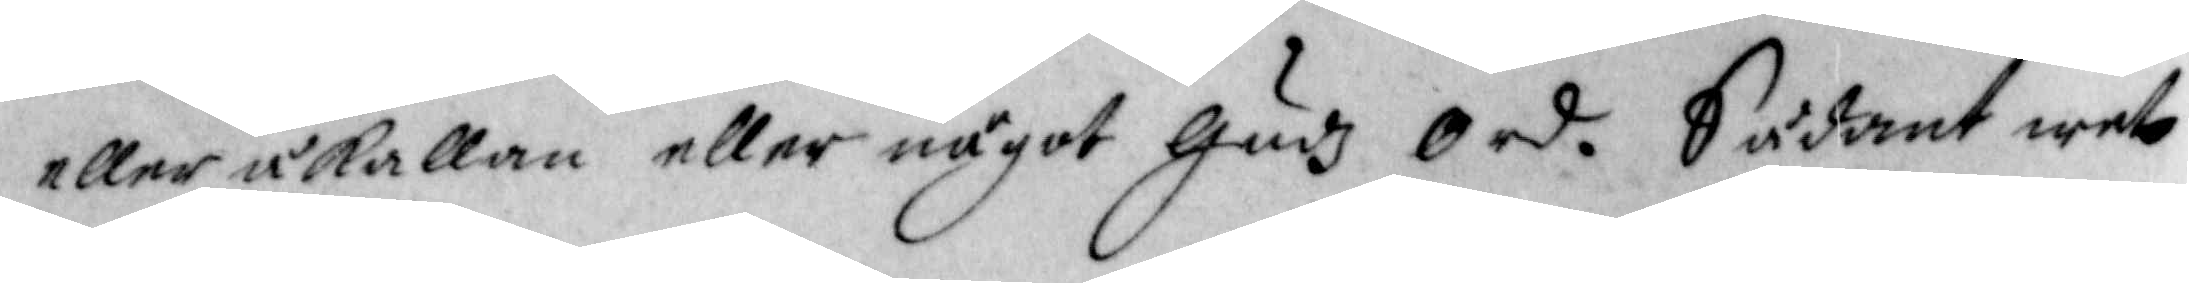eller åkallan eller något Gudz Ord. Sådant wet
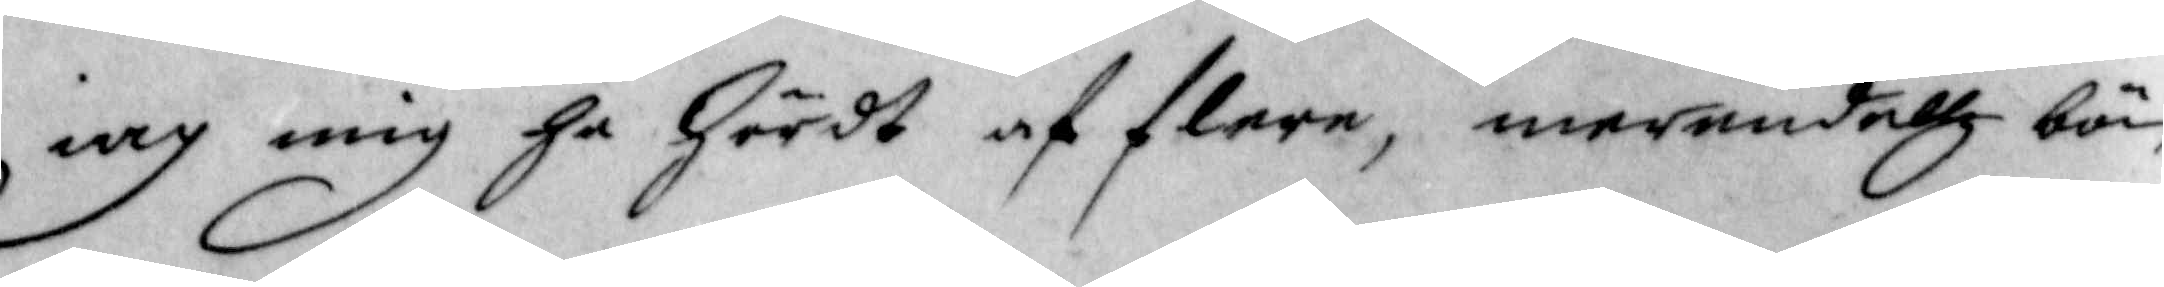iag mig ha hördt af flere, merendellz bör¬
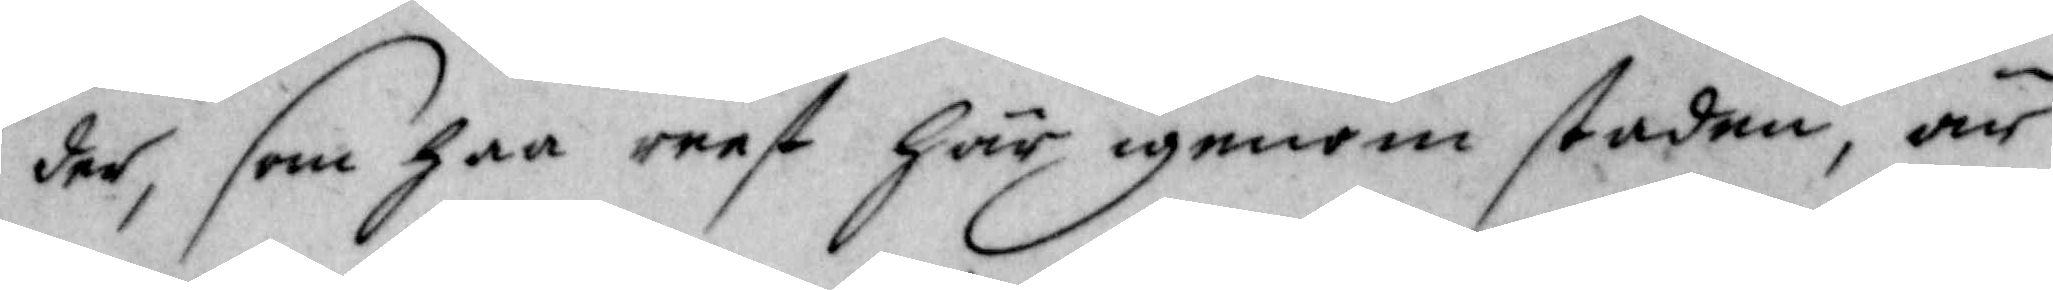der, som haa reest här igenom staden, är
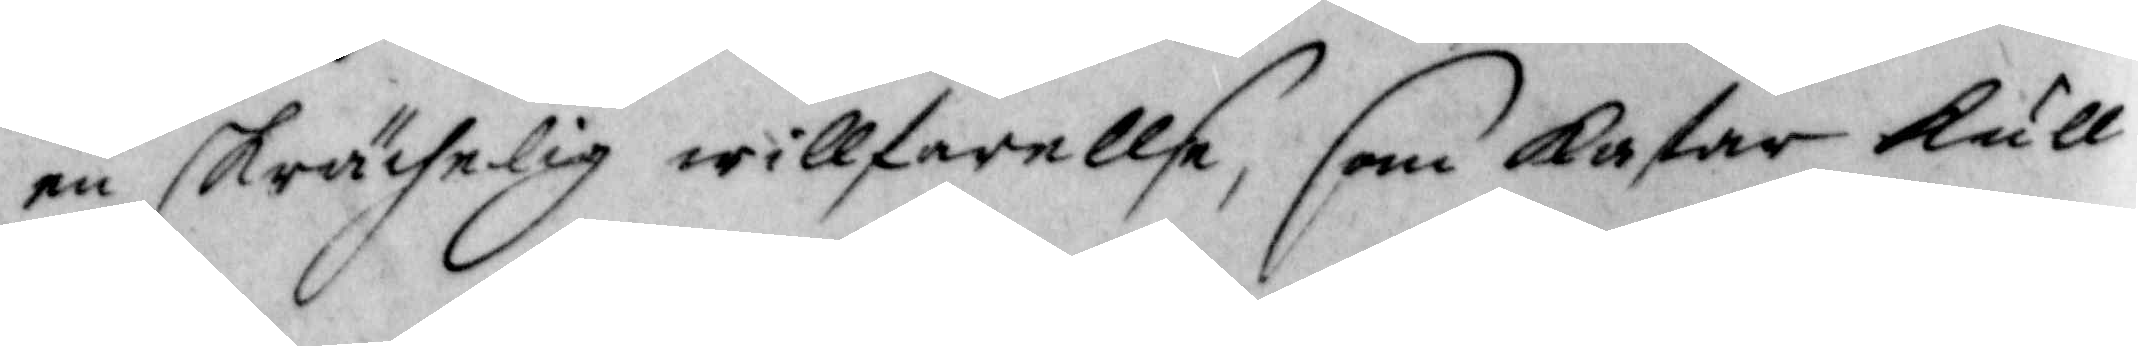en skrächelig willfarellse, som kastar kull
